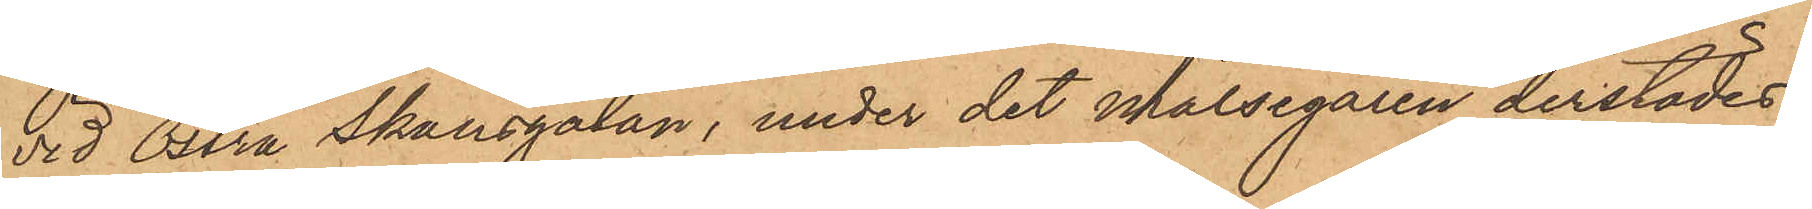vid Östra Skansgatan, under det målsegaren derstädes
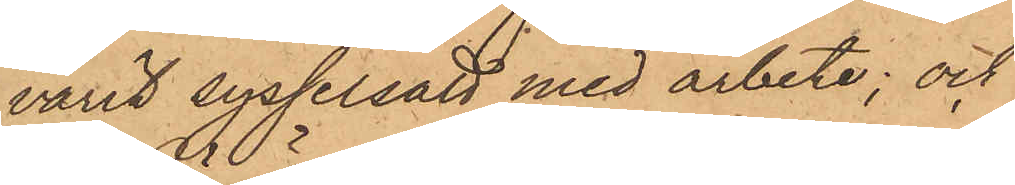varit sysselsatt med arbete; och
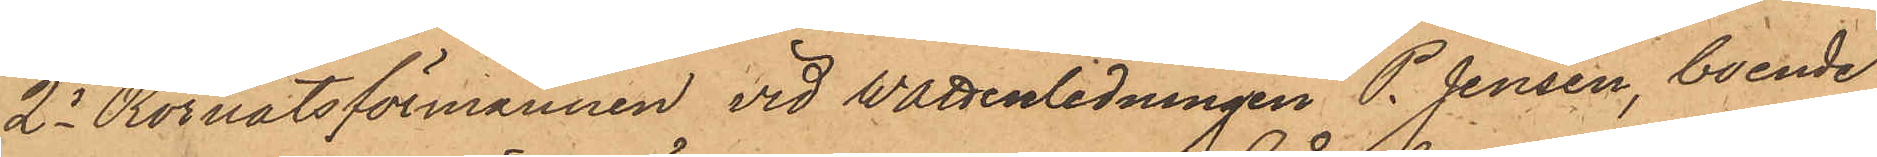2o Rörnätsförmannen vid Wattenledningen P. Jensen, boende
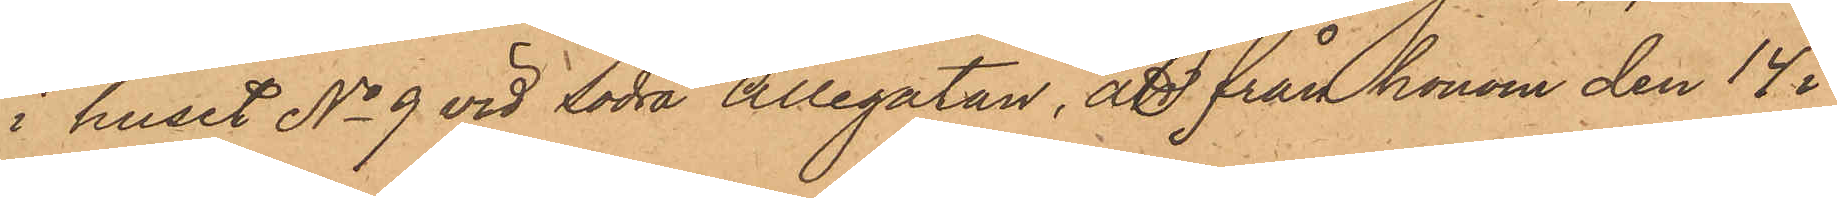i huset No 9 vid Södra Allégatan, att från honom den 14 i
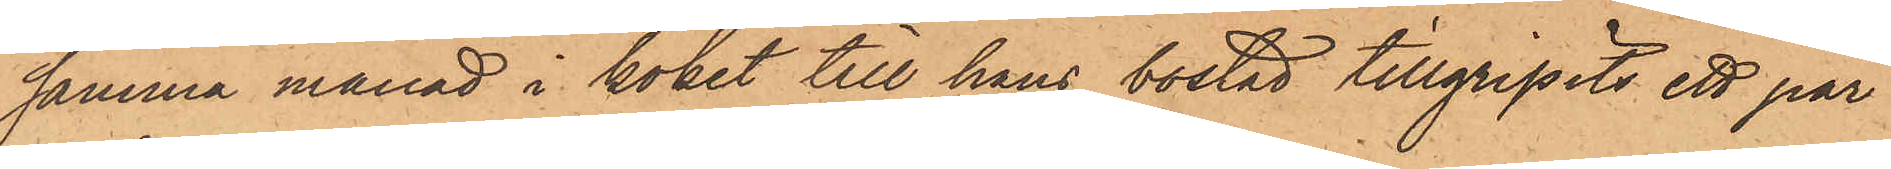samma månad i köket till hans bostad tillgripits ett par
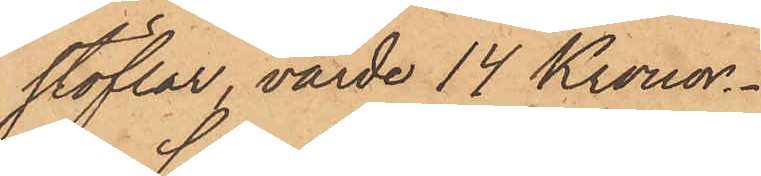stöflar, värde 14 Kronor.
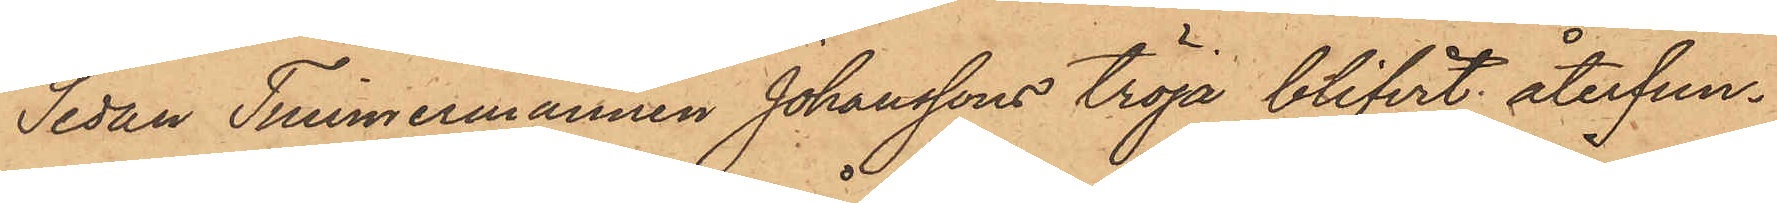Sedan Timmermannen Johanssons tröja blifvit återfun¬
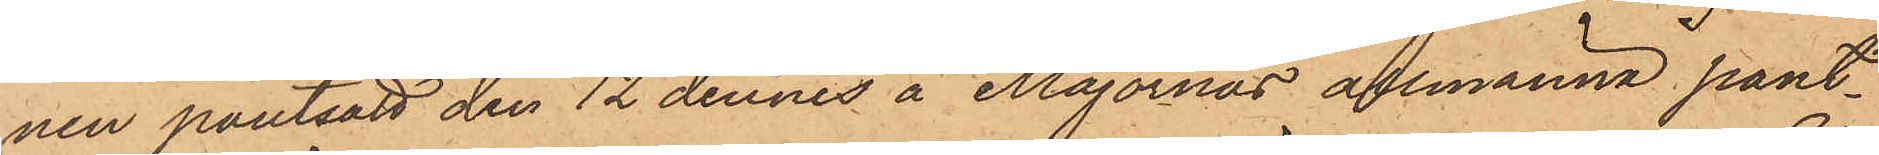nen pantsatt den 12 dennes å Majornas allmänna pant¬
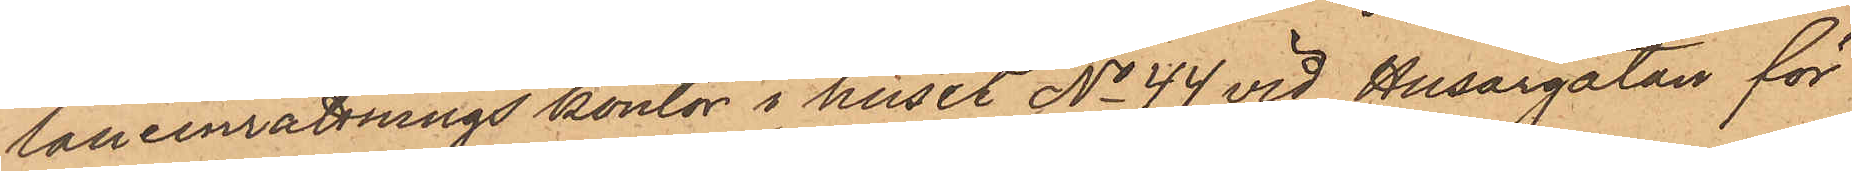laneinrättnings kontor i huset No 44 vid Husargatan för
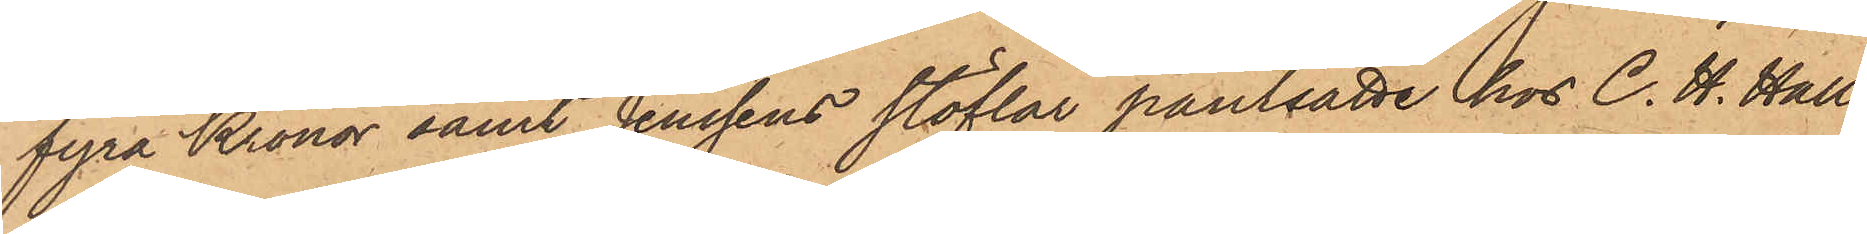fyra Kronor samt Jenssens stöflar pantsatte hos C. H. Hall¬
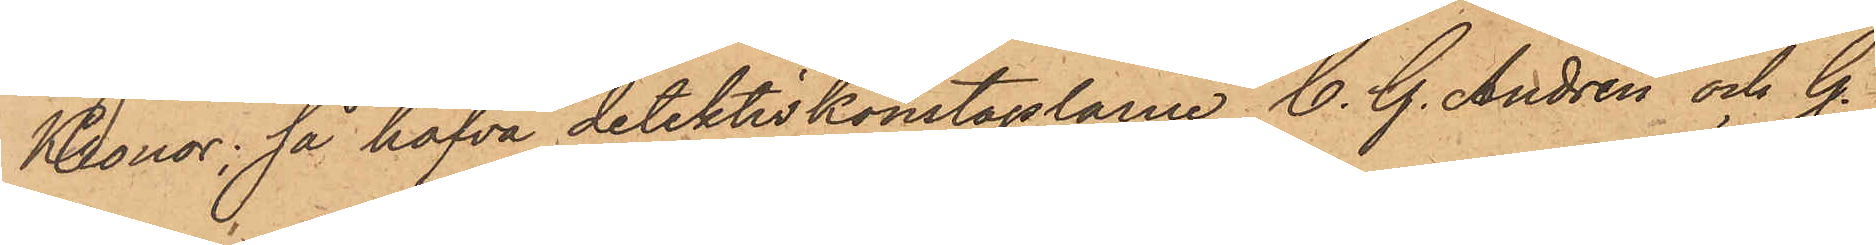Kronor, så hafva detektivkonstaplarne C. G. Andrén och G.
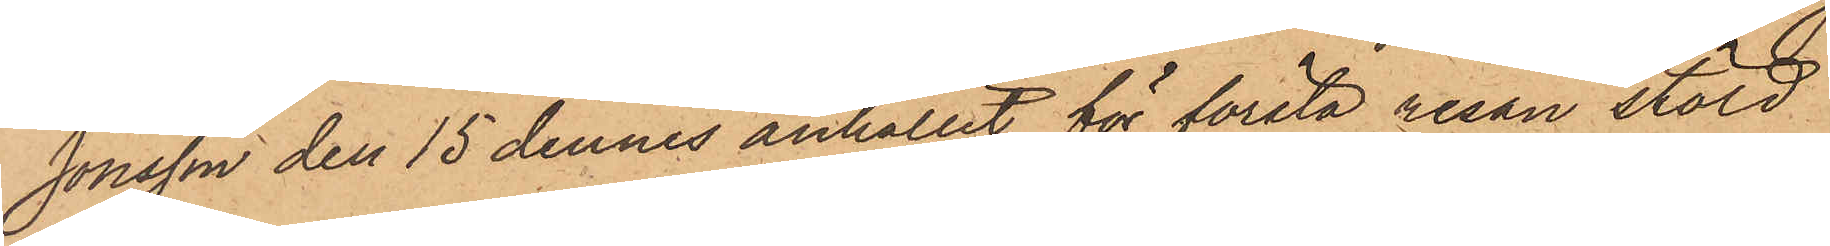Jönsson den 15 dennes anhållit för första resan stöld
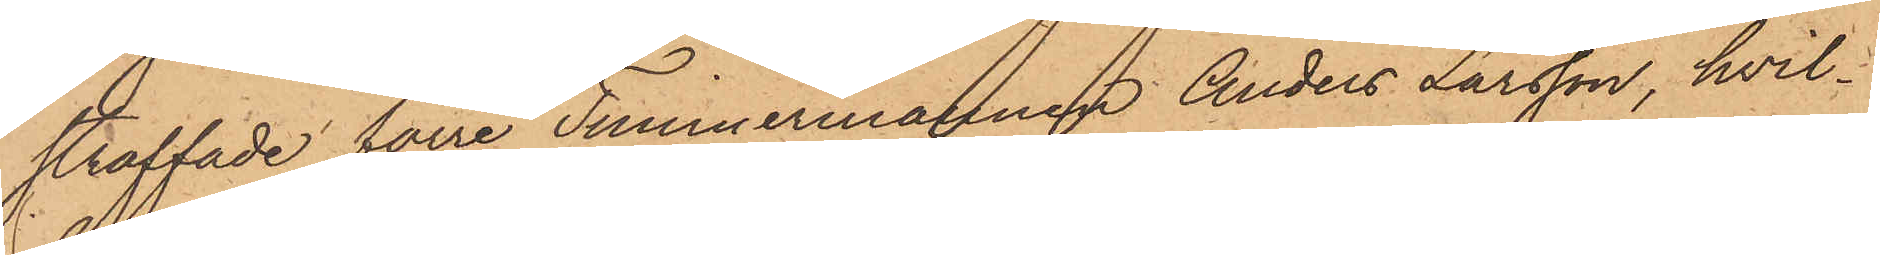straffade förre Timmermannen Anders Larsson, hvil¬
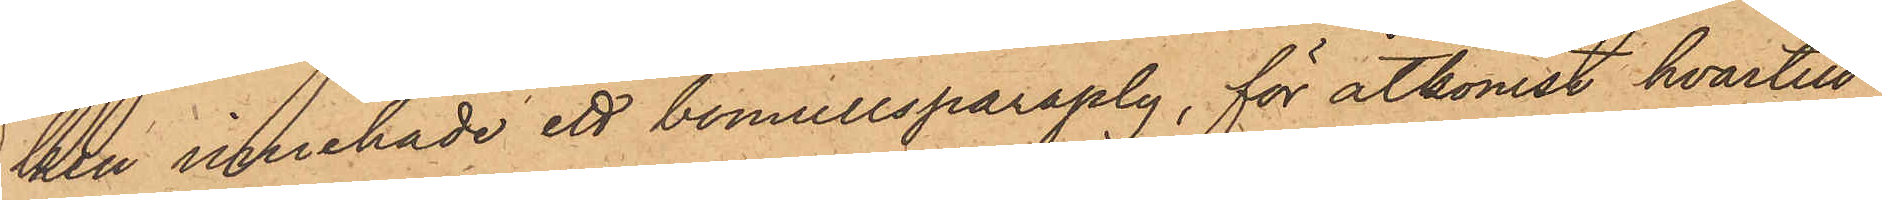ken innehade ett bomullsparaply, för åtkomst hvartill
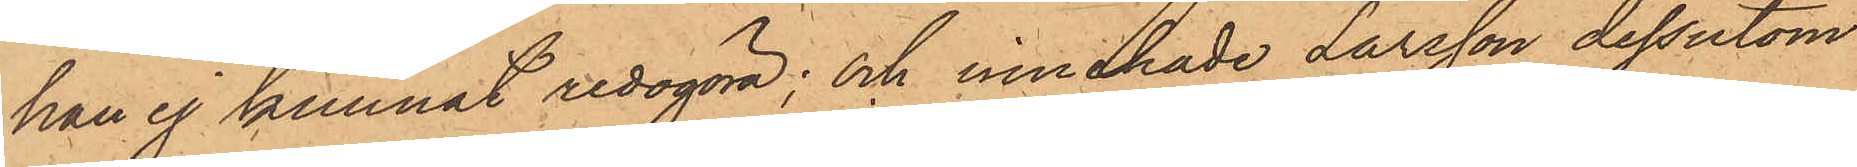han ej kunnat redogöra; och innehade Larsson dessutom
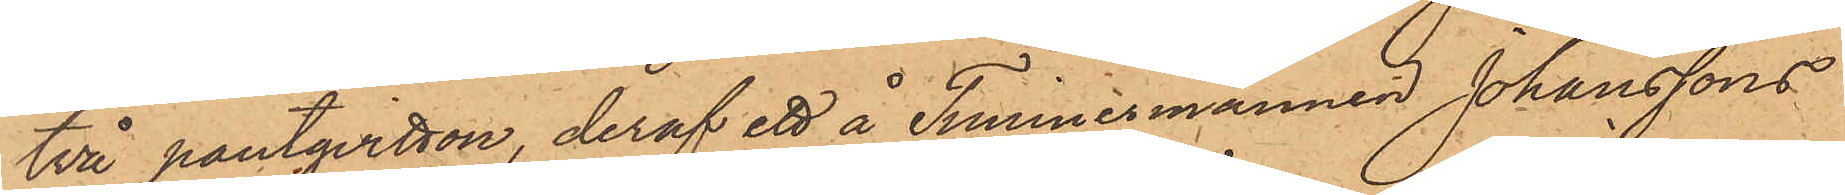två pantqvitton, deraf ett å Timmermannen Johanssons
